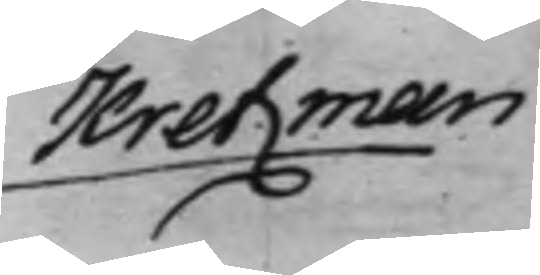Kretzman
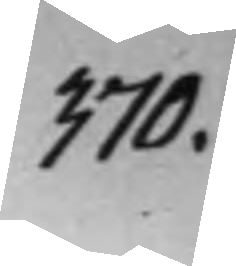370.
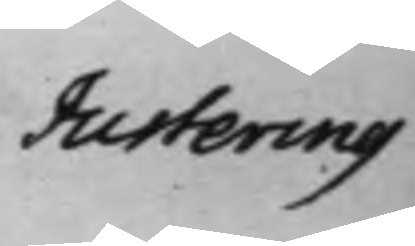Justering 
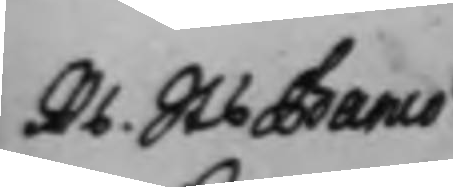Rs. Sts. Banco
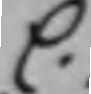C:
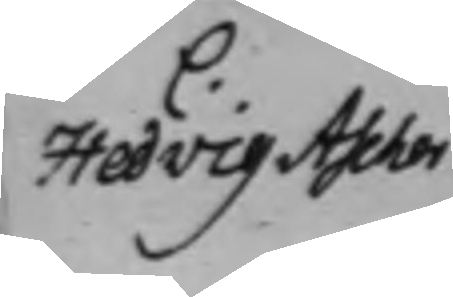Hedvig Ascher
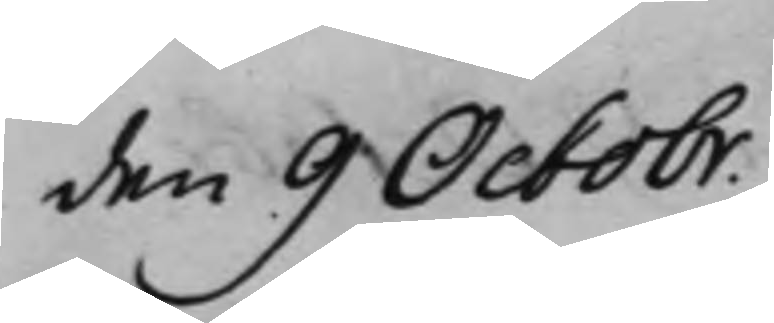den 9 Octobr.
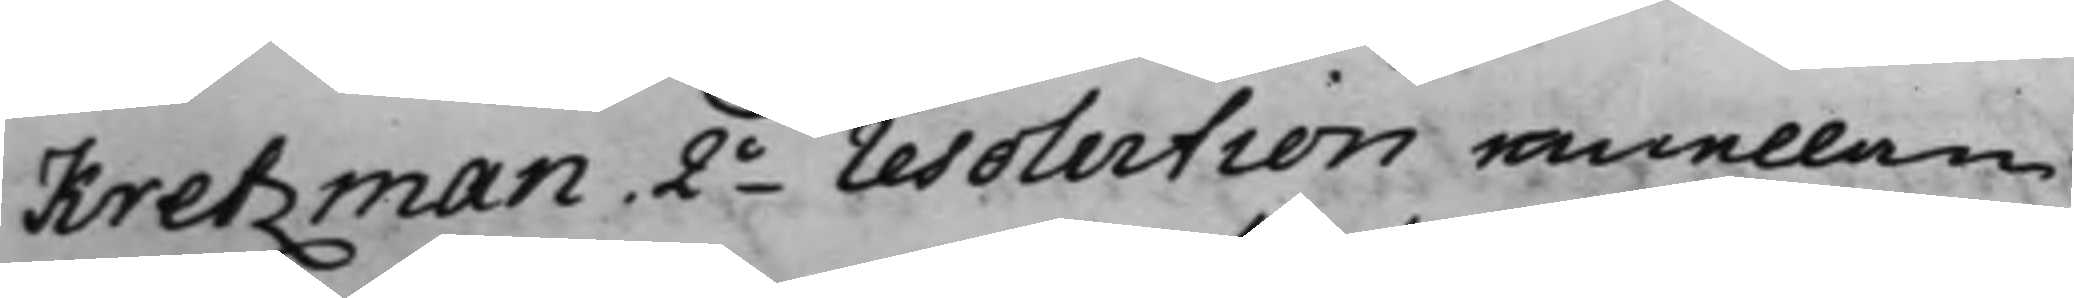Kretzman. 2o resolution emellan
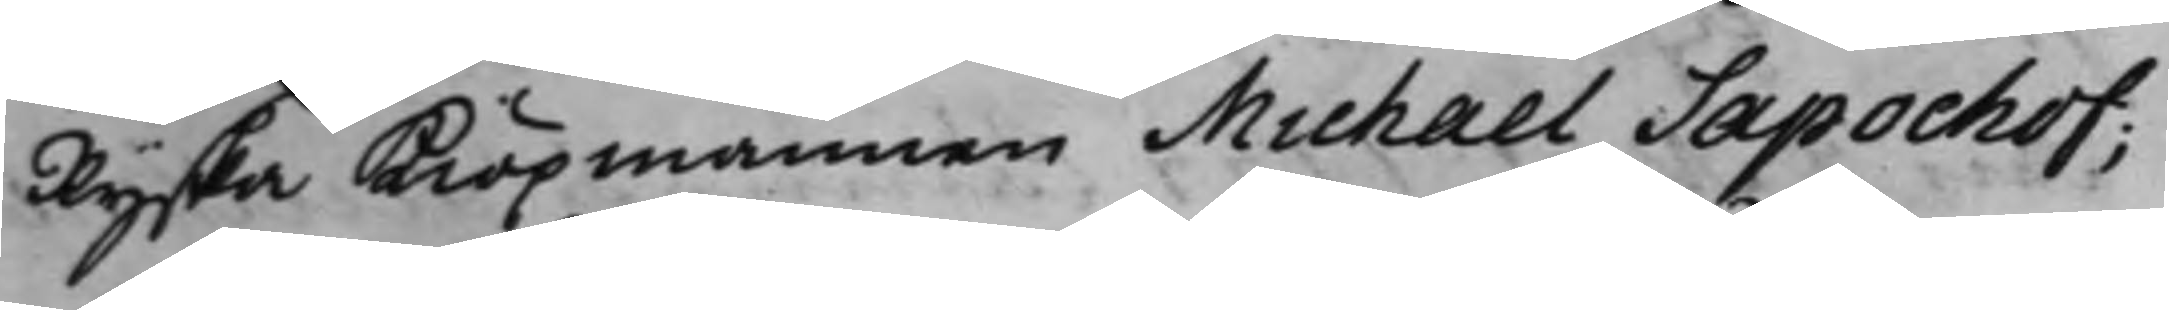Ryska Kiöpmannen Michael Sapochof;
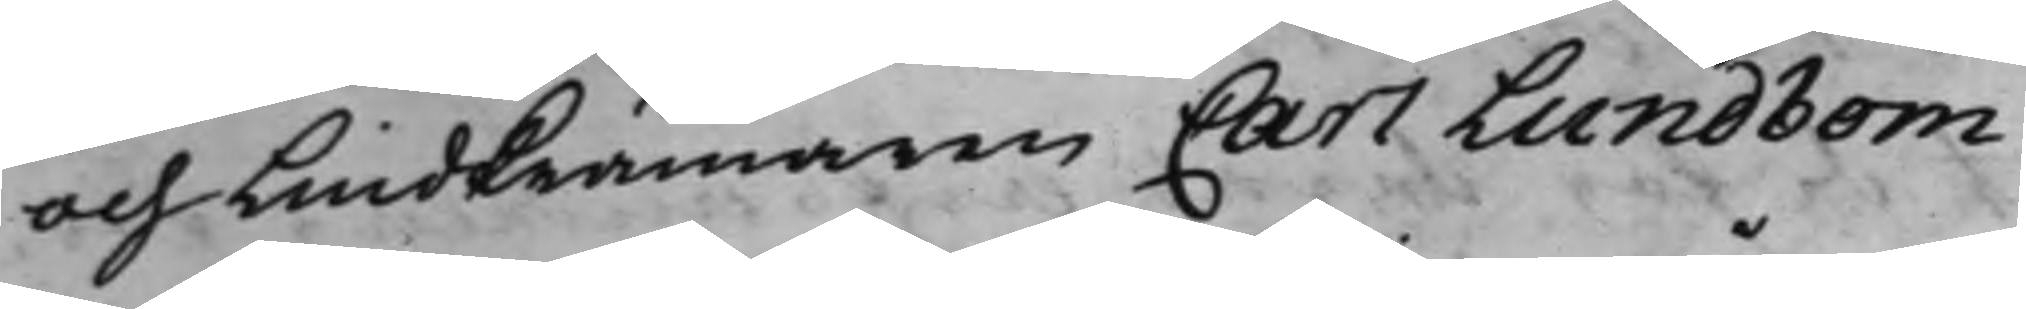och Lindkrämaren Carl Lundbom.
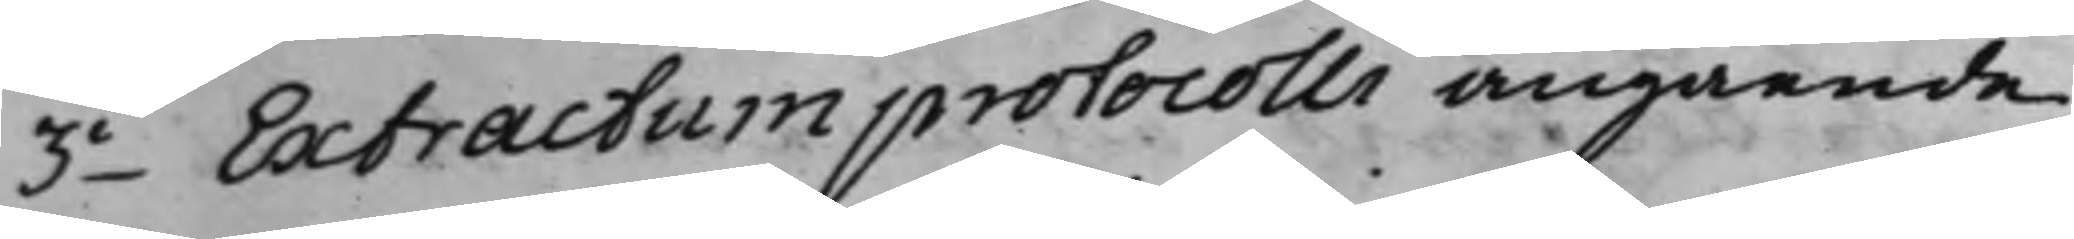3o Extractum protocolli angående
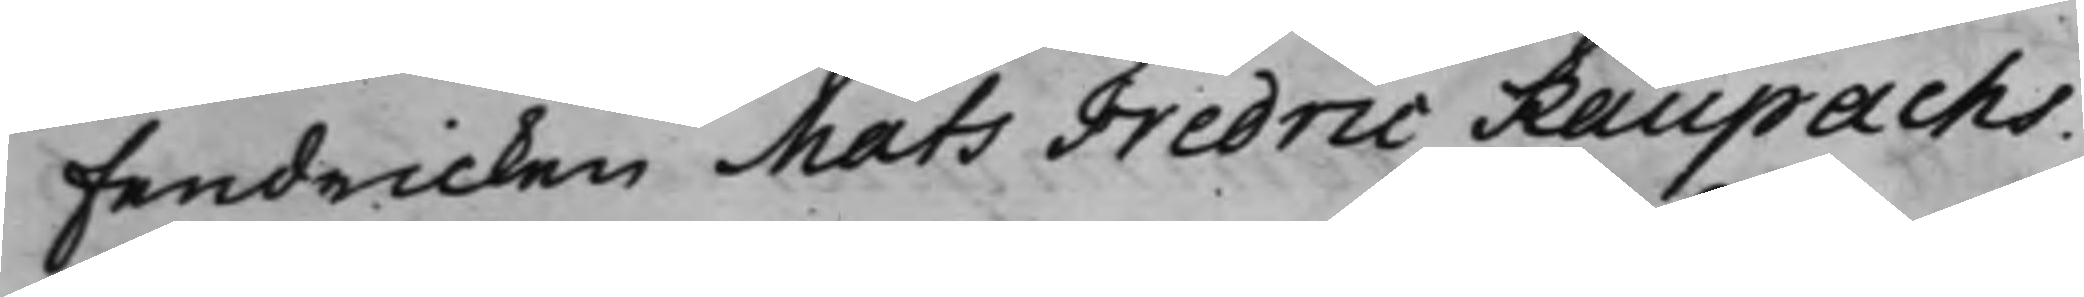Fendricken Mats Fredric Raupachs.
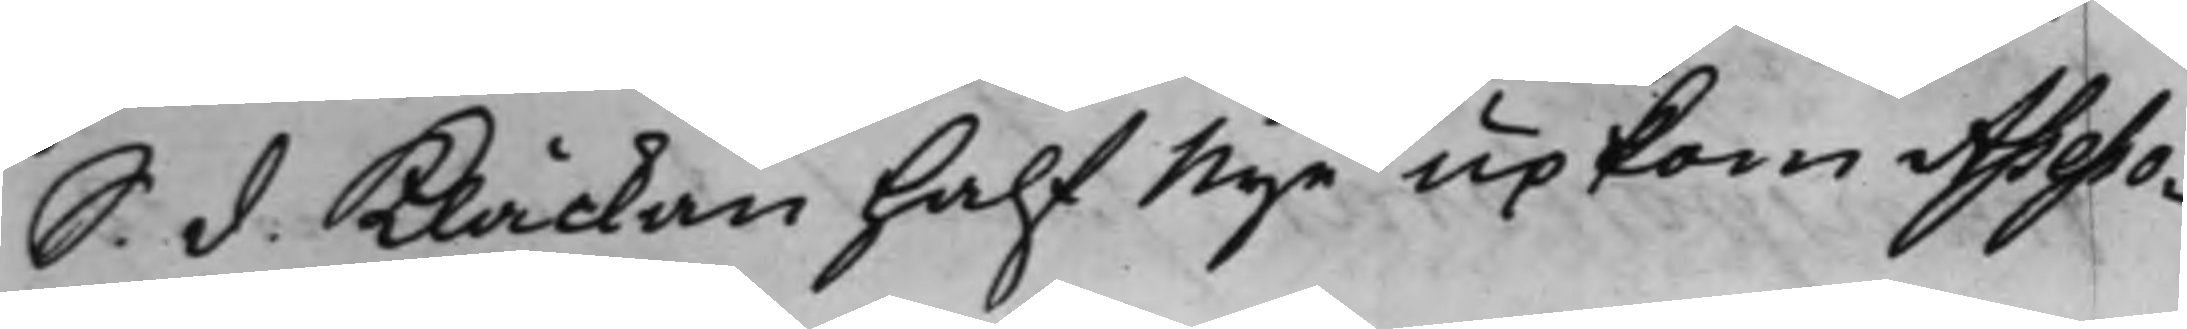S. d. Klåckan half Nije upkom Asseso¬
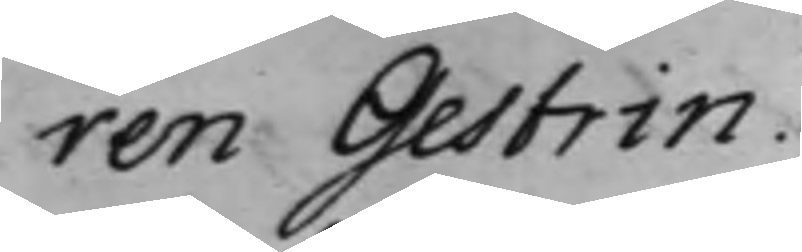ren Gestrin.
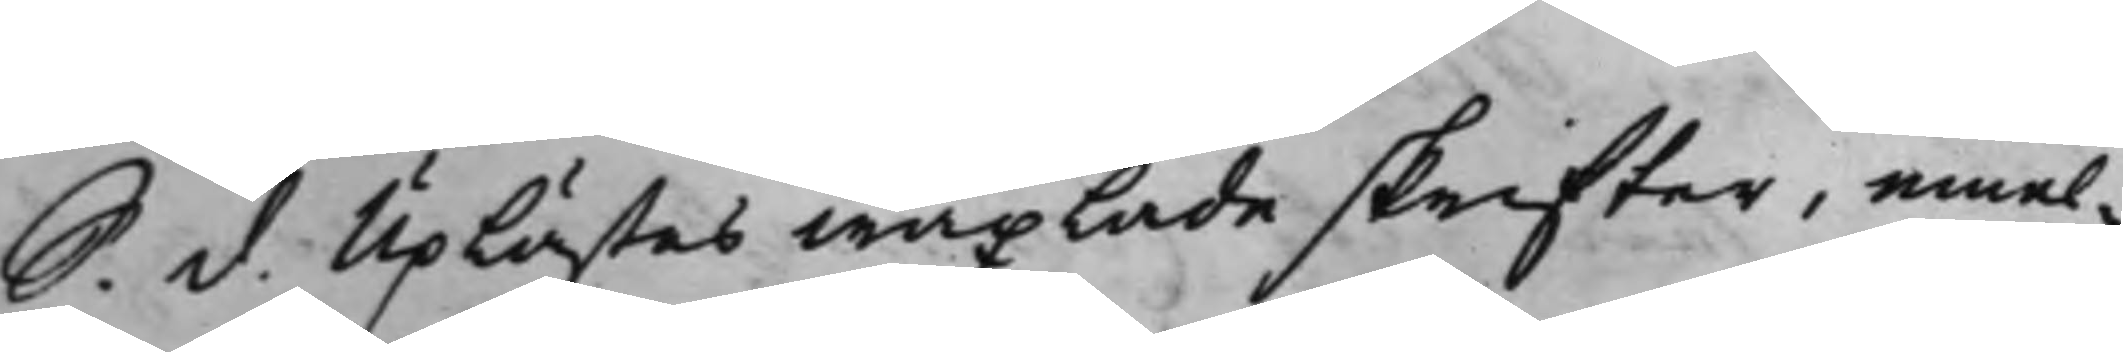S. d. Uplästes wäxlade skrifter, emel¬
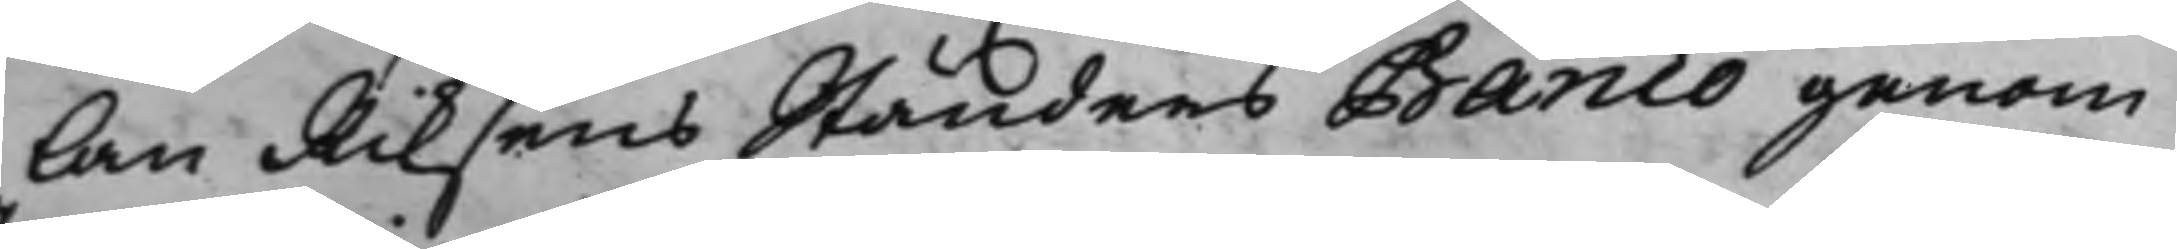lan Riksens Ständers Banco genom
